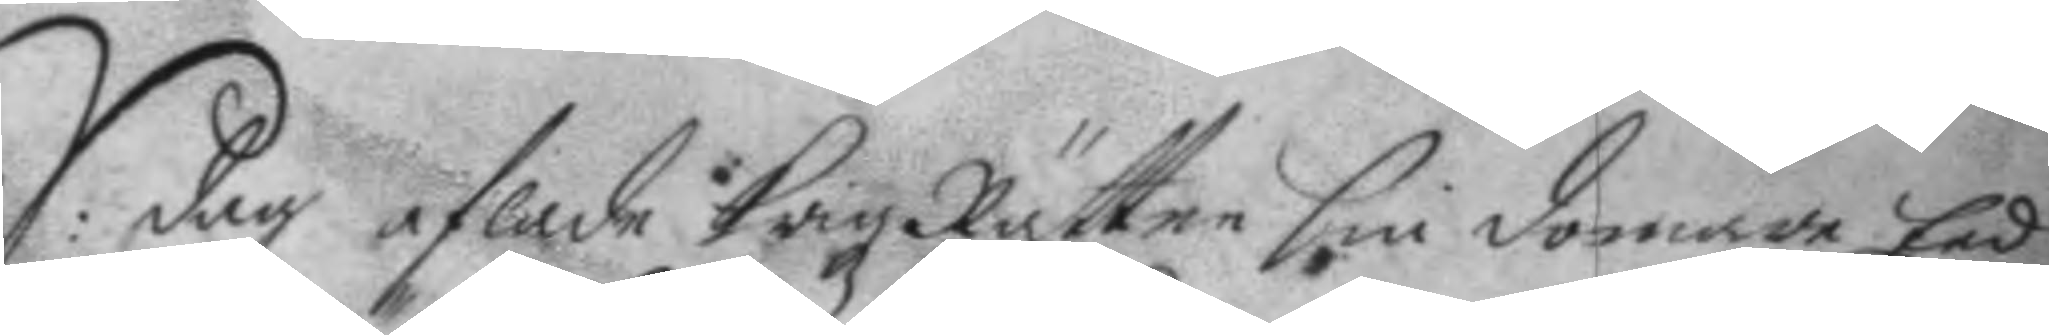S: dag aflade Krigz Rätten sin domar Eed,
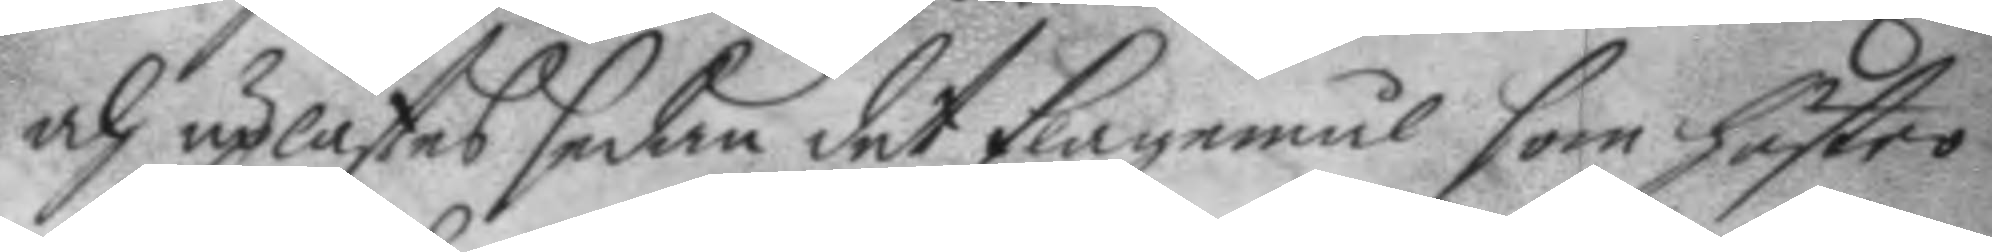och uplästes sedan det klagomål som hustro
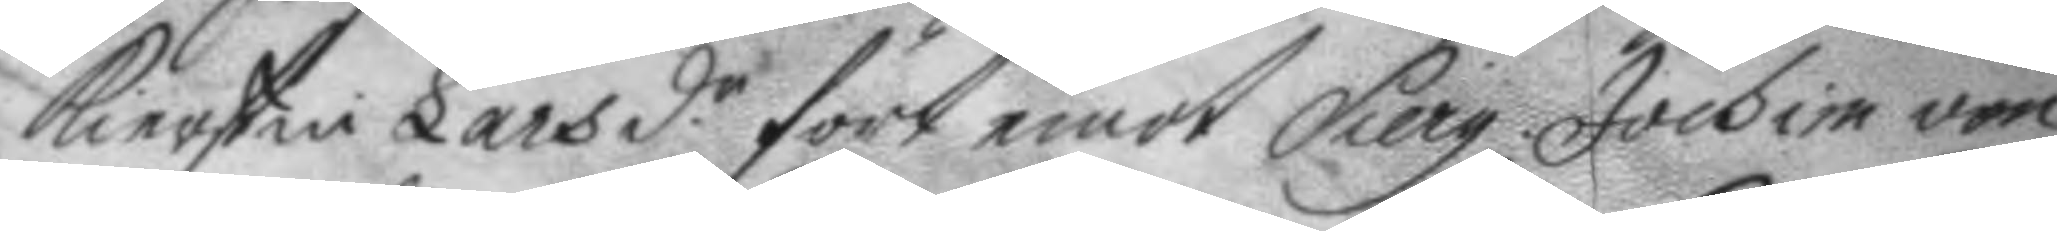Kierstin Larsd.r fört emot Sierg. Jochim von
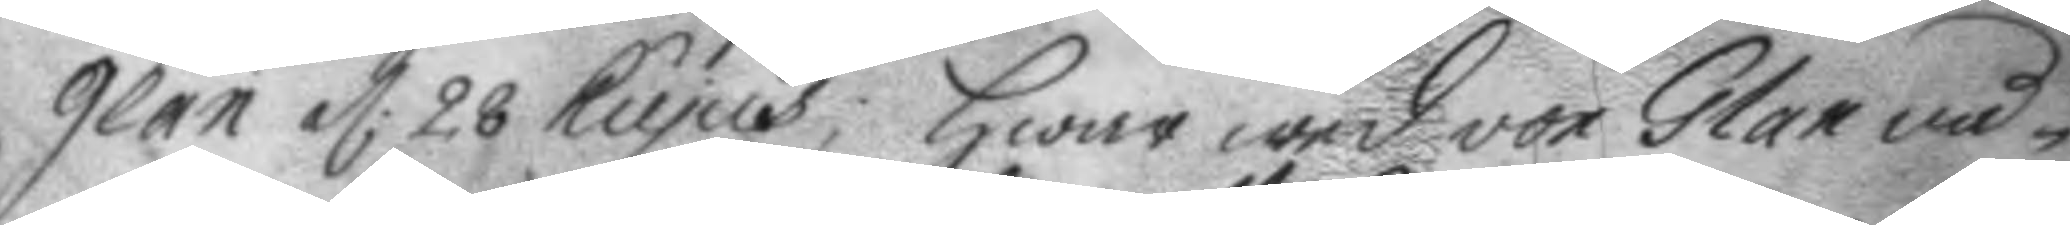Glan d: 28. hujus; Hwar wed von Glan nå¬
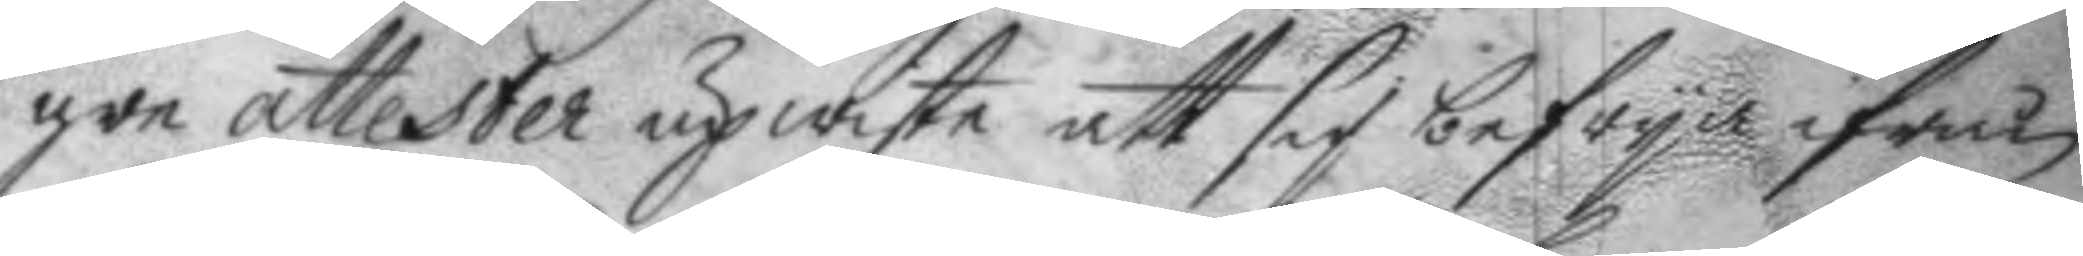gre attester upwiste att sig befrya ifrån
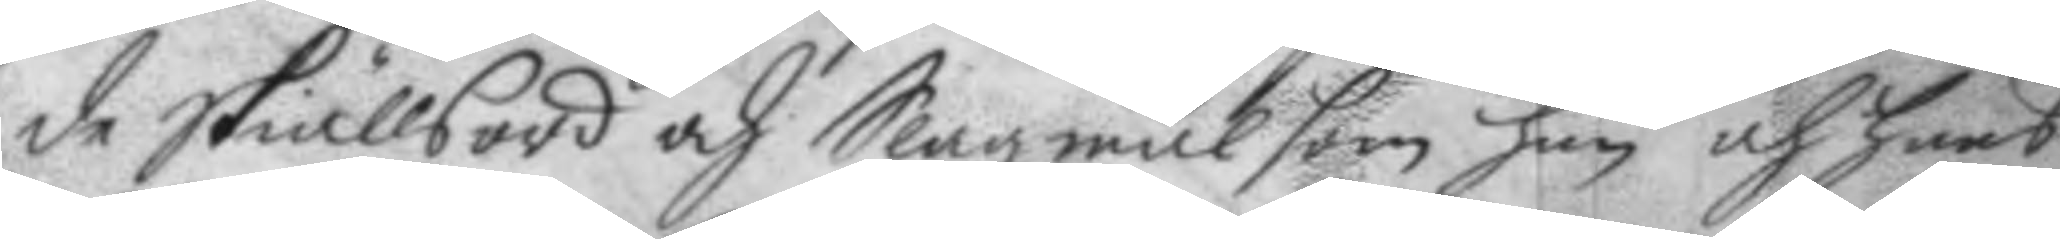de skiällsord och Slagzmål som han och hans
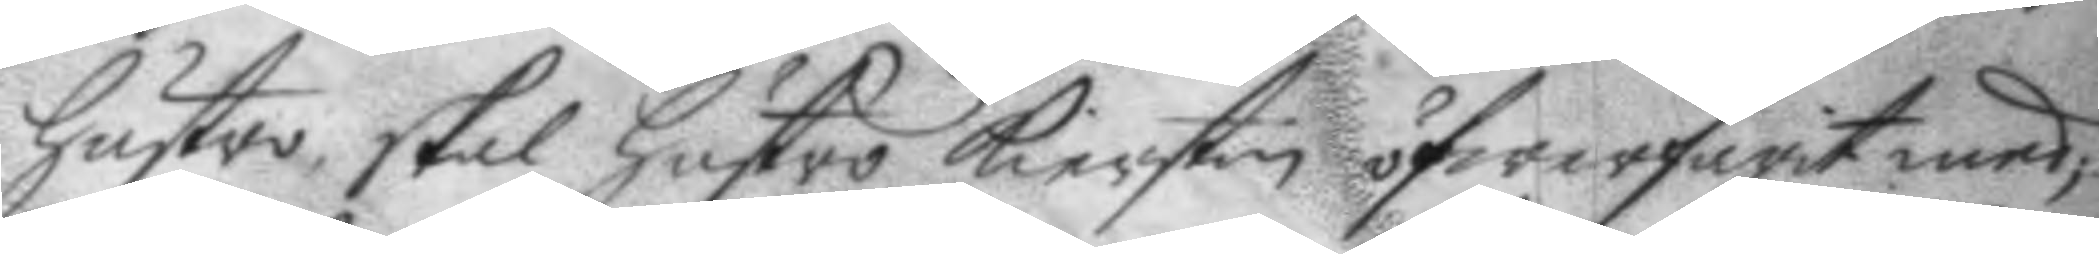hustro skal hustro Kierstin öfwerfarit med;
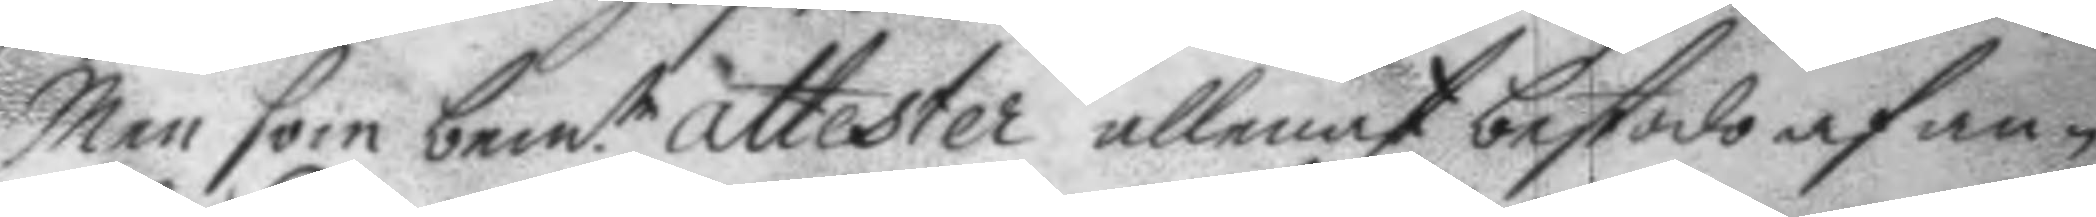Men som bem.te attester allenast bestodo af an¬
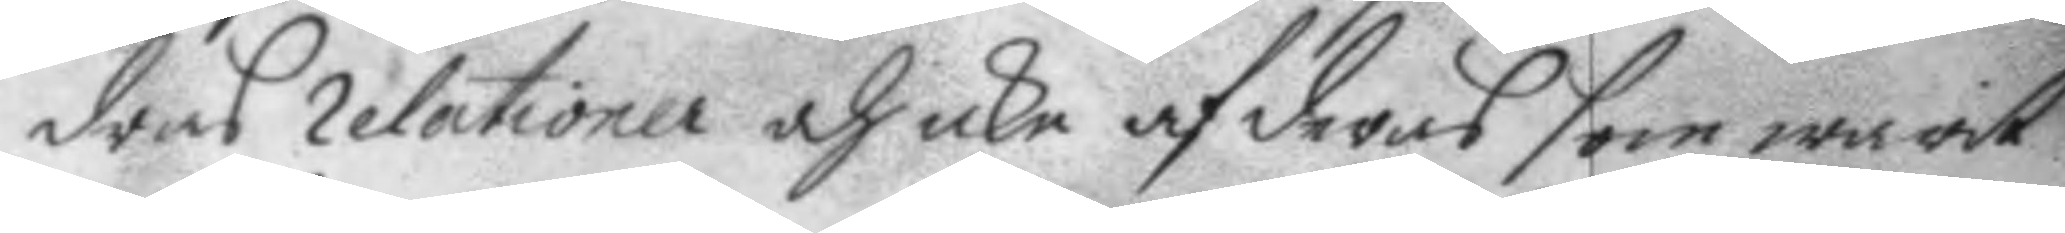dras relationer och icke af deras som warit
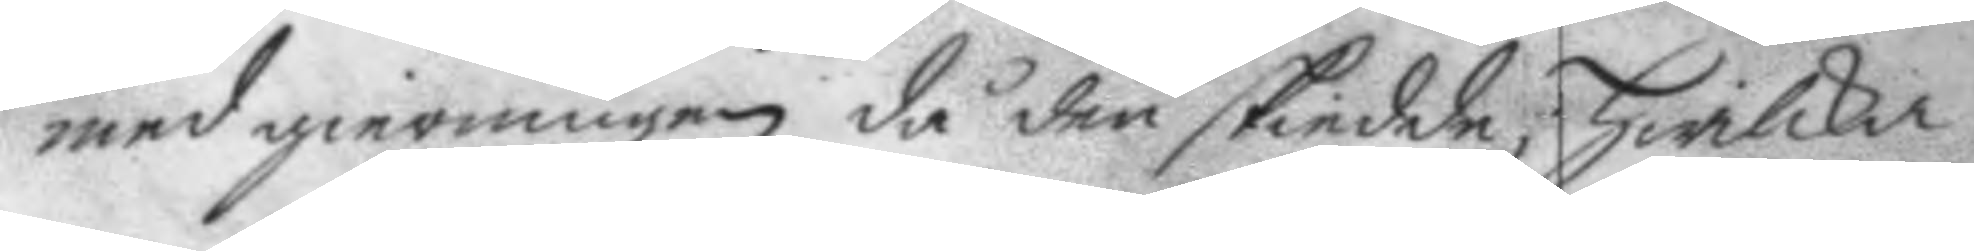med gierningen då den skiedde; Hwilka
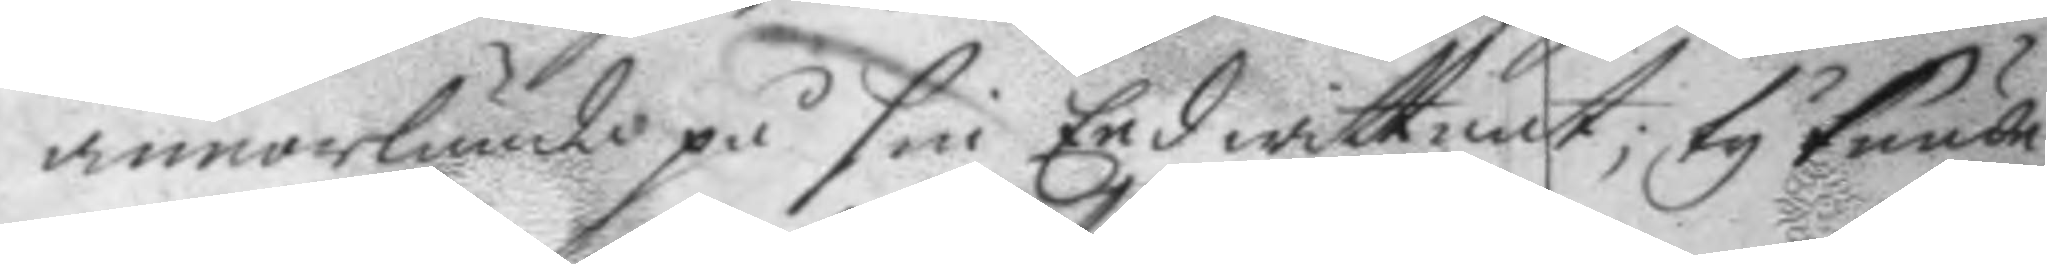annorlunda på sin Eed wittnat; ty kunde
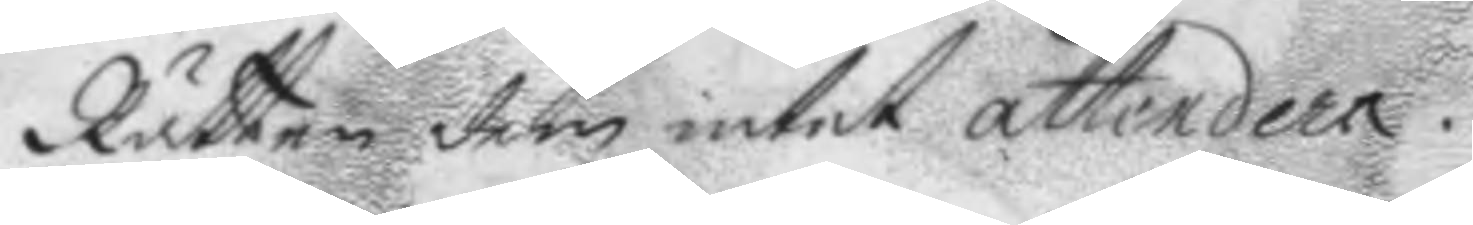Rätten dem intet attendera.
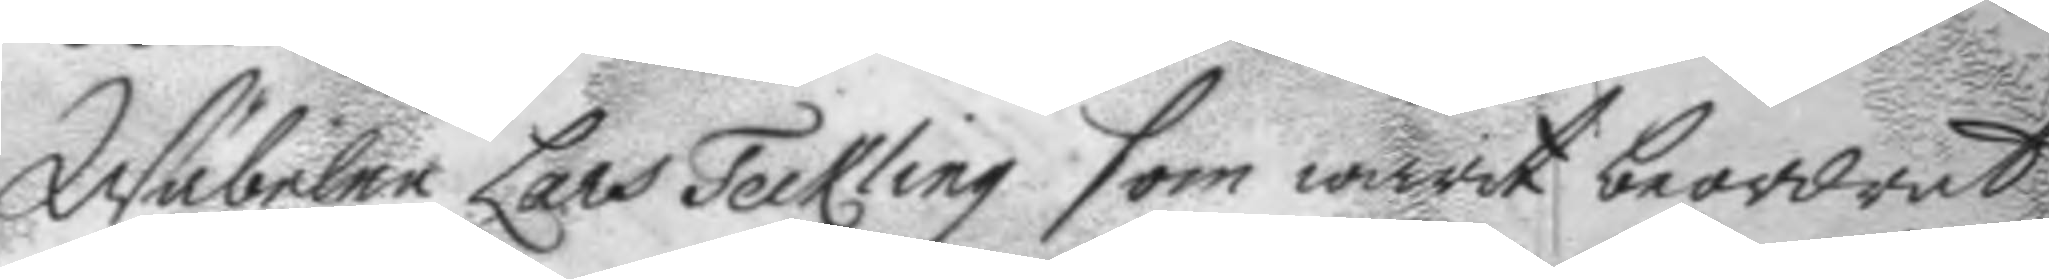Wäbelen Lars Teckling som warit beordrat
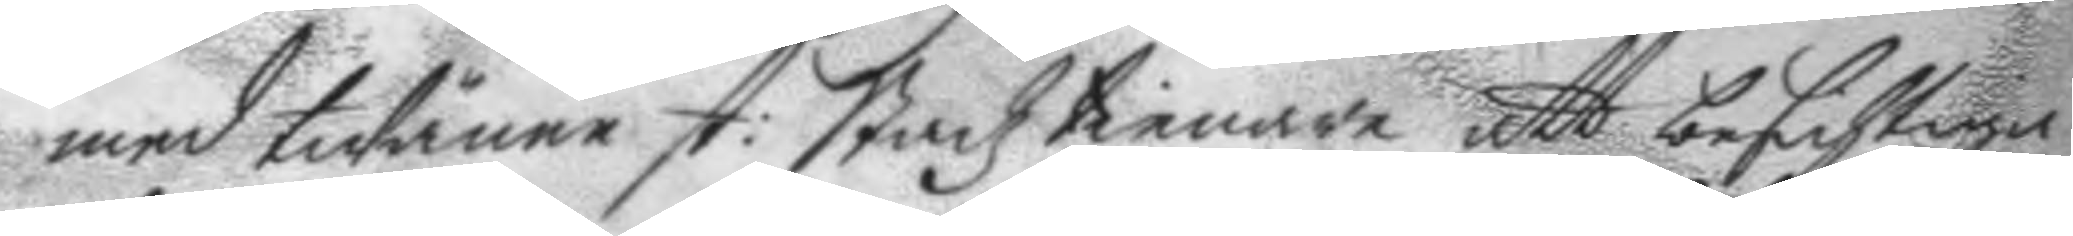med twänne st: Stadztienare att besichtiga
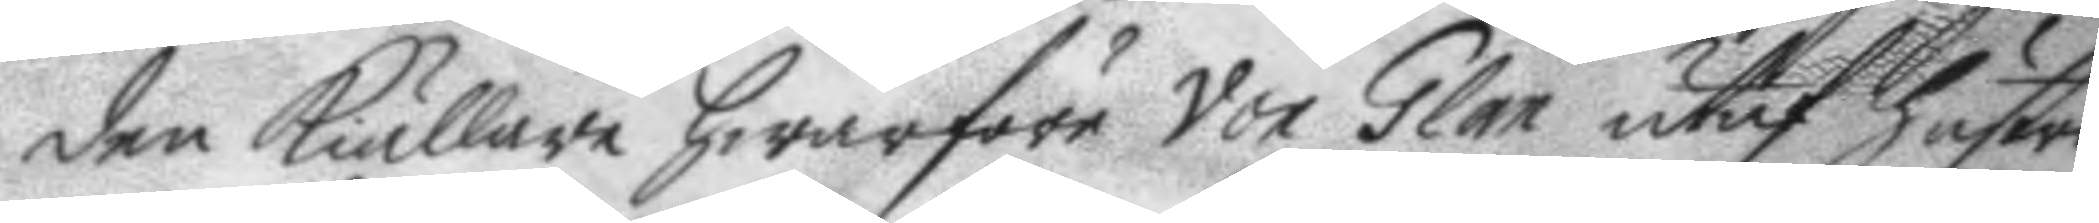den Kiällare hwarföre Von Glan utaf hustro
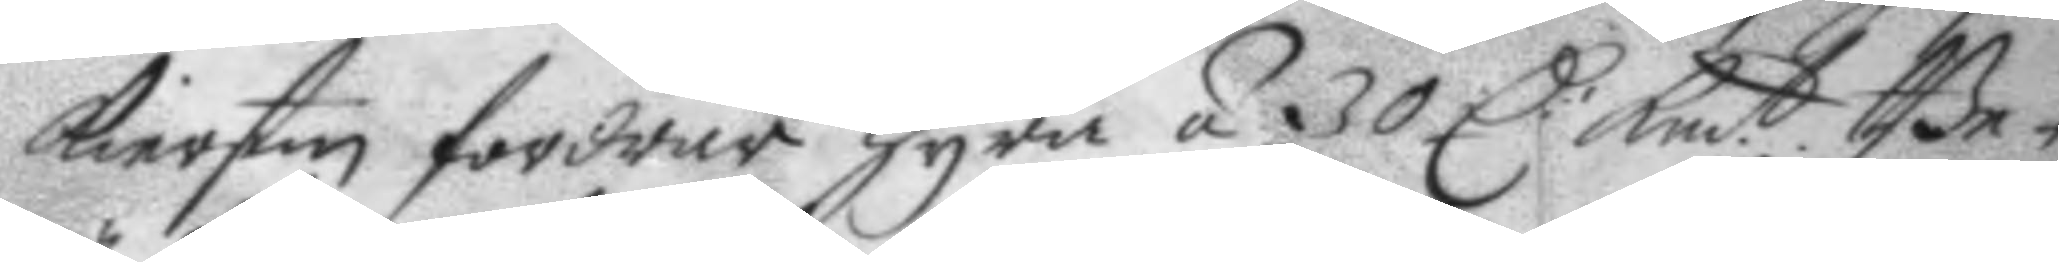Kierstin fordrar hyra á 30 C: Kmt. Be¬
